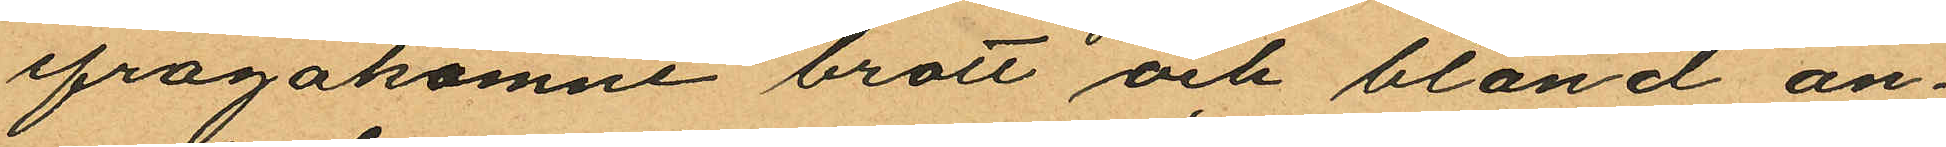ifrågakomne brott och bland an¬
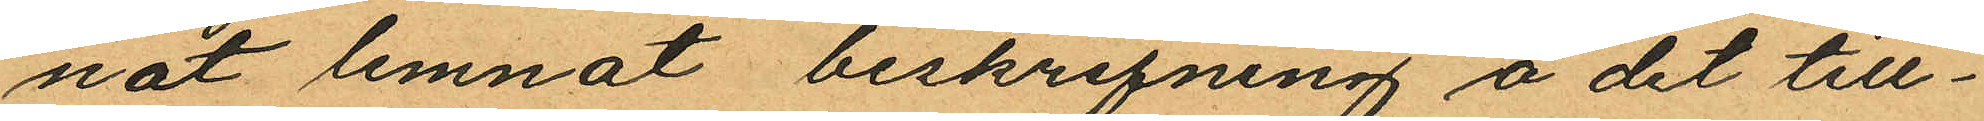nat lemnat beskrifning å det till¬
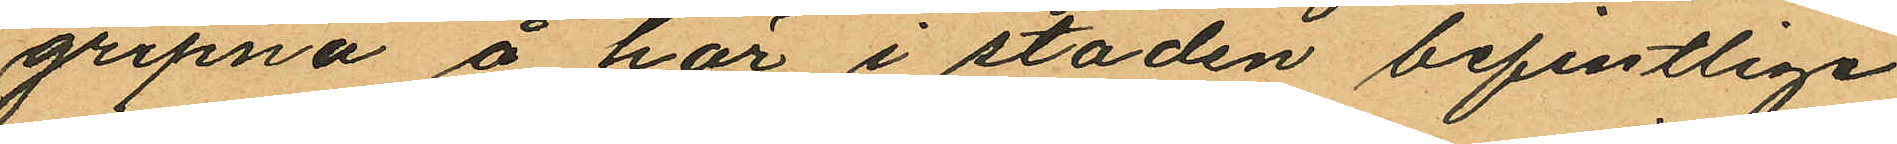gripna å här i staden befintlige
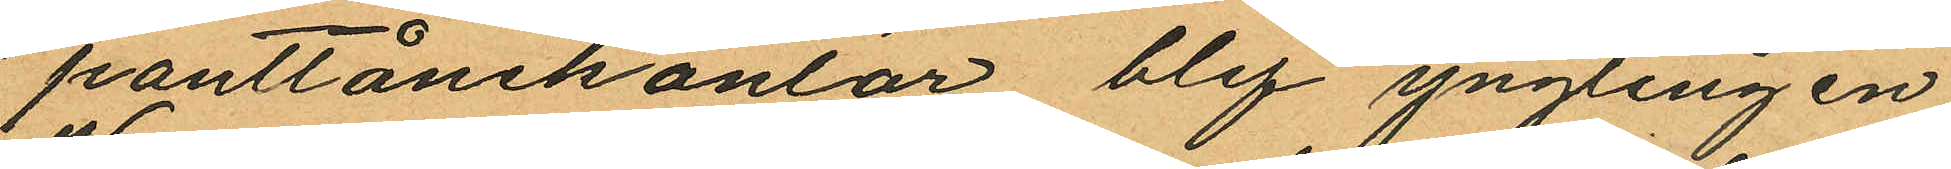pantlånekontor blef ynglingen
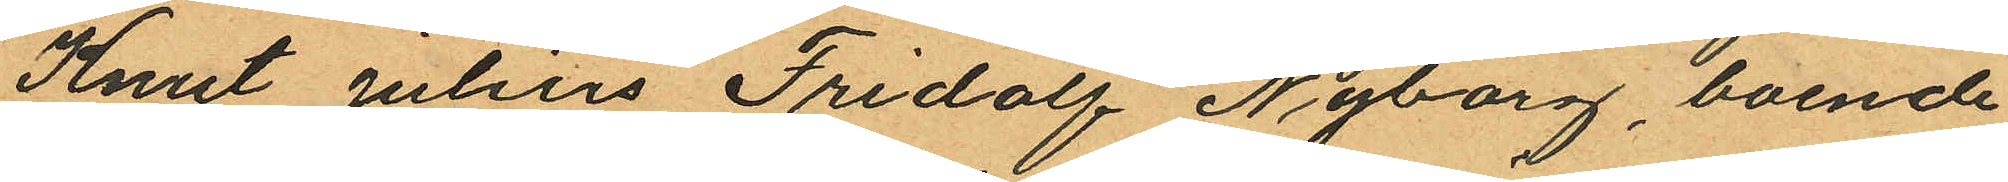Knut Julius Fridolf Nyborg, boende
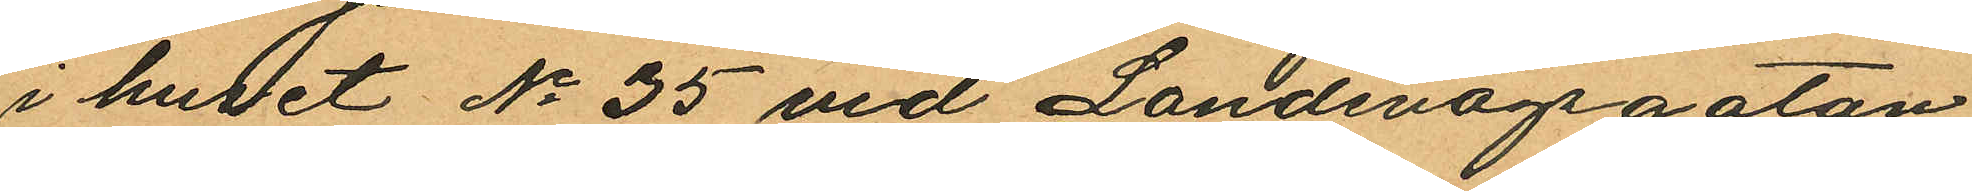i huset No 35 vid Landsvägsgatan
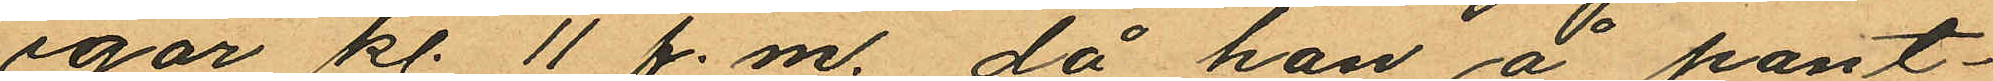igår kl. 11 f.m. då han å pant¬
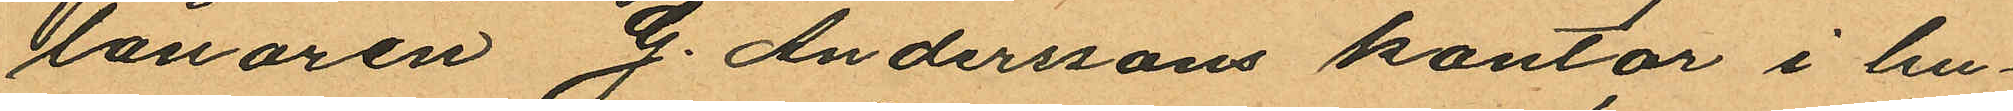lånaren G. Anderssons kontor i hu¬
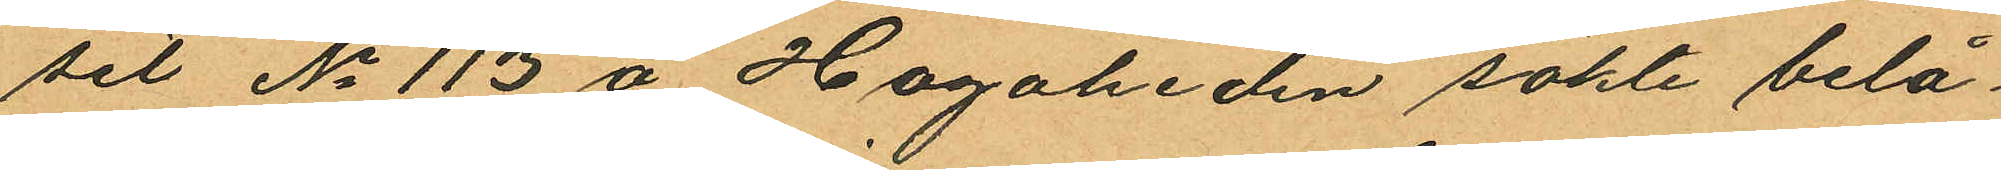set No 113 å Hagaheden sökte belå¬
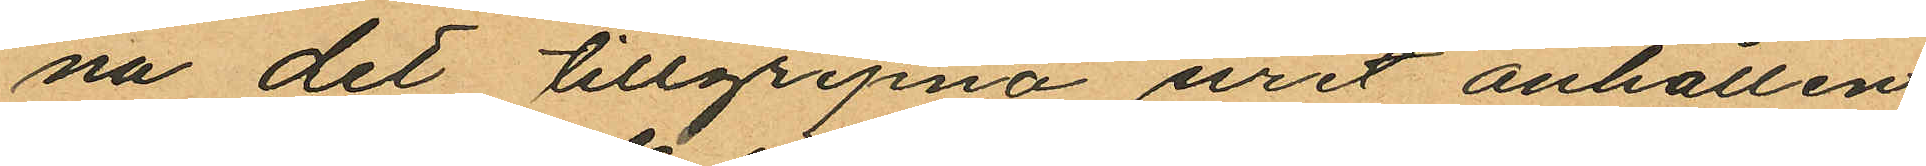na det tillgripna uret anhållen
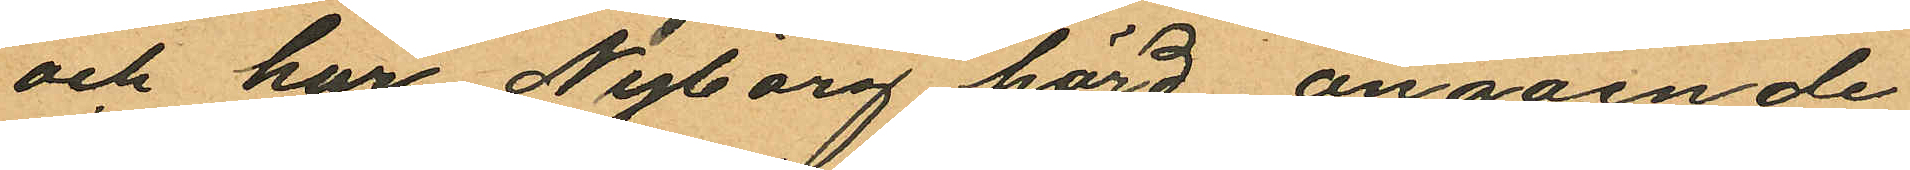och har Nyborg hörd angående
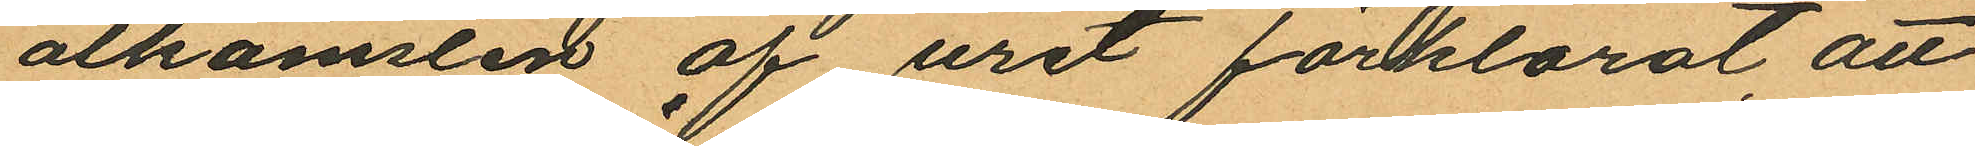åtkomsten af uret förklarat att
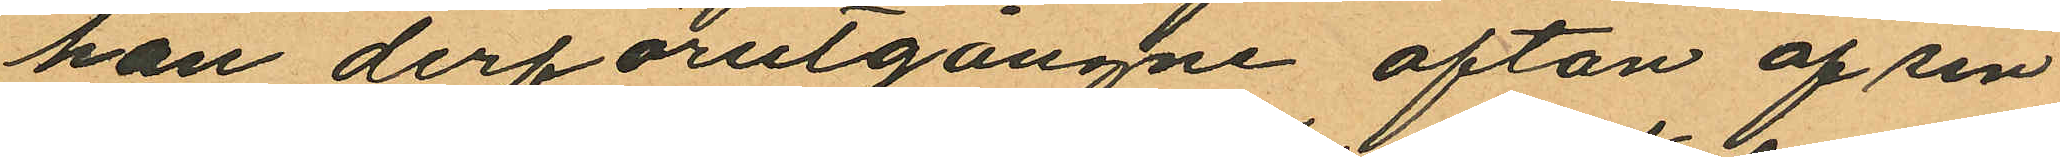han derförutgångne afton af sin
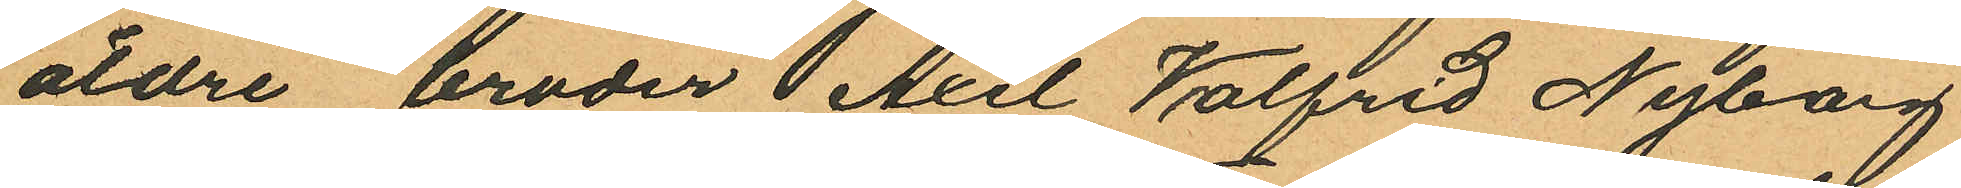äldre broder Axel Valfrid Nyborg
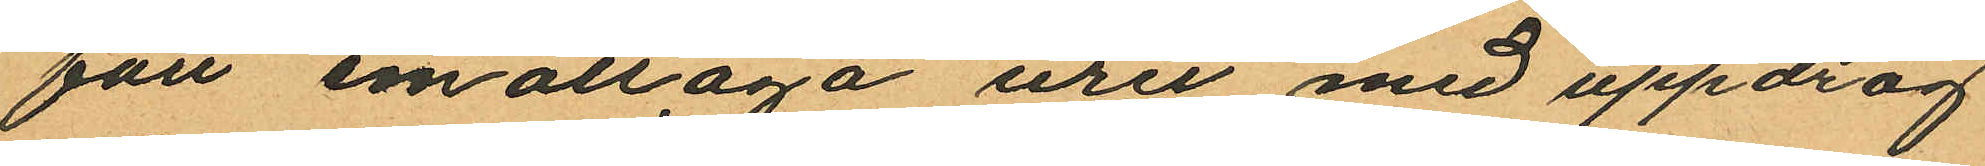fått emottaga uret med uppdrag
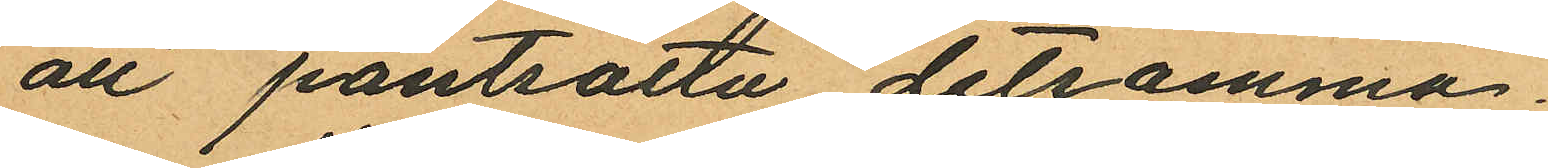att pantsatta detsamma.
